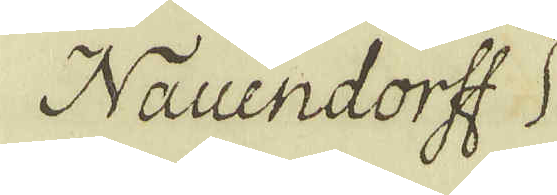Nauendorff
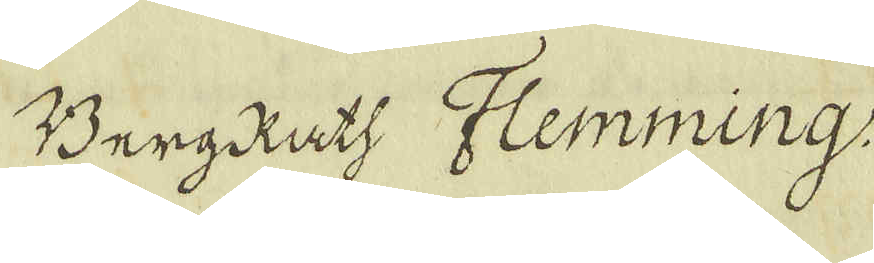BergRath Flemming.
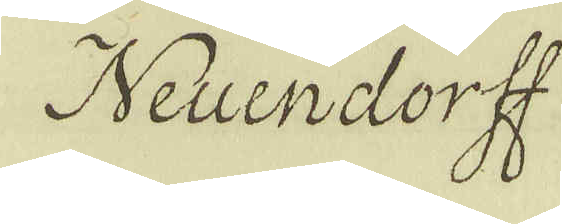Neuendorff
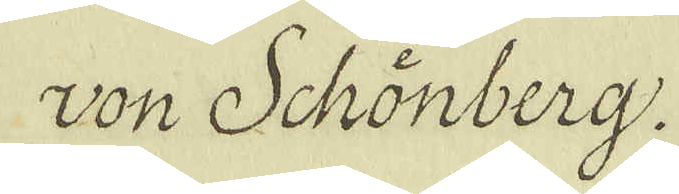von Schönberg
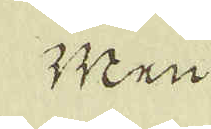Men
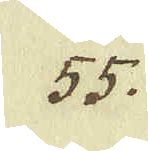55.
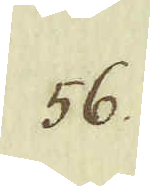56.
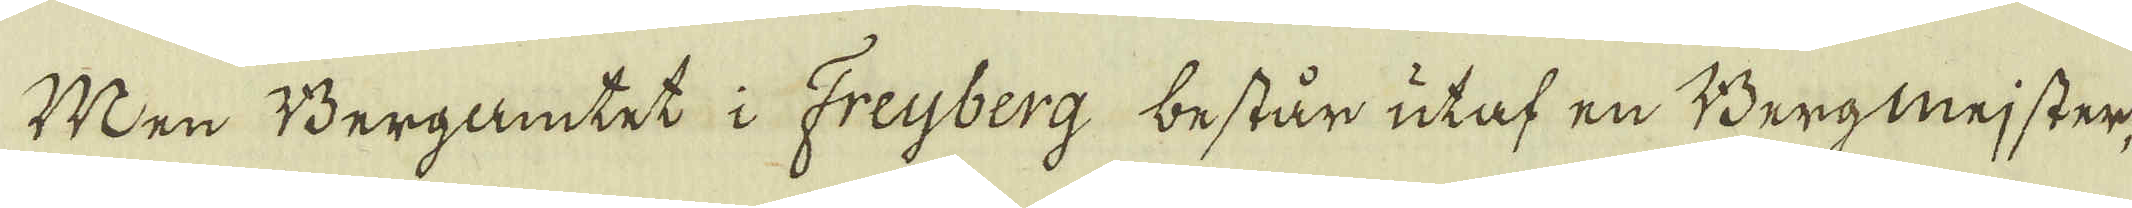Men Bergamtet i Freyberg består utaf en Bergmejster
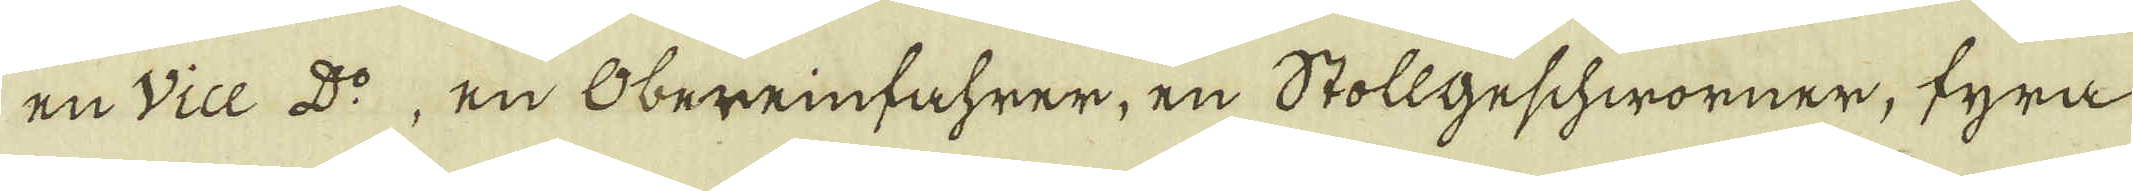en Vice Do, en Obereinfahrer, en Stollgeschworner, fyra
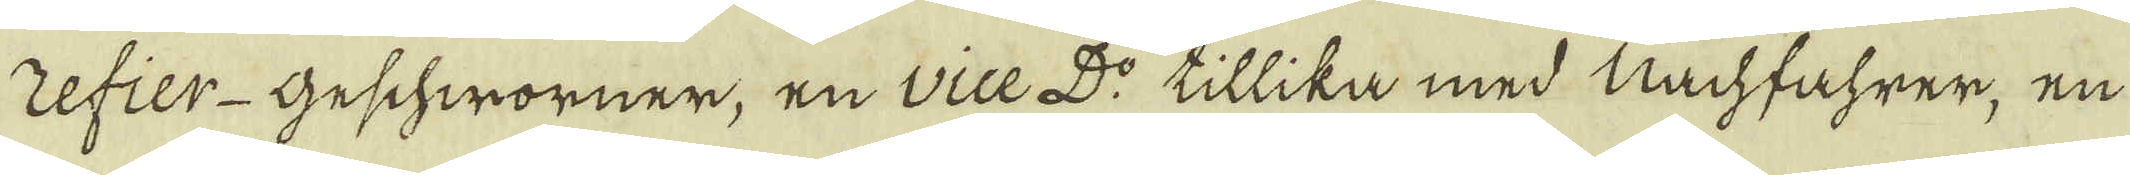refier-Geschworner, en vice Do tillika med Nachfahrer, en
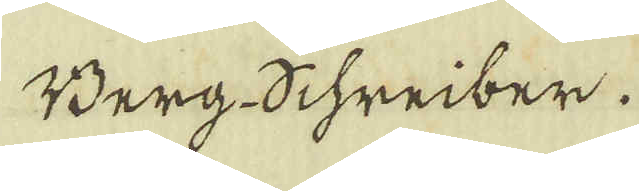Berg Schreiber.
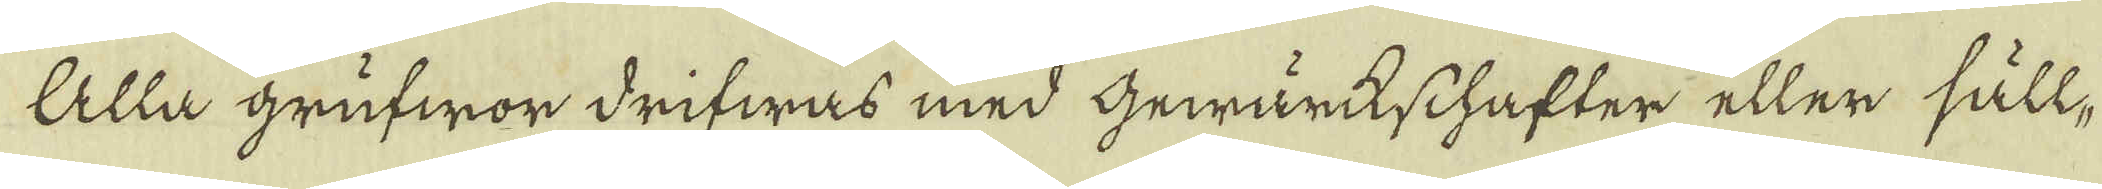Alla grufwor drifwas med Gewärkschafter eller säll-
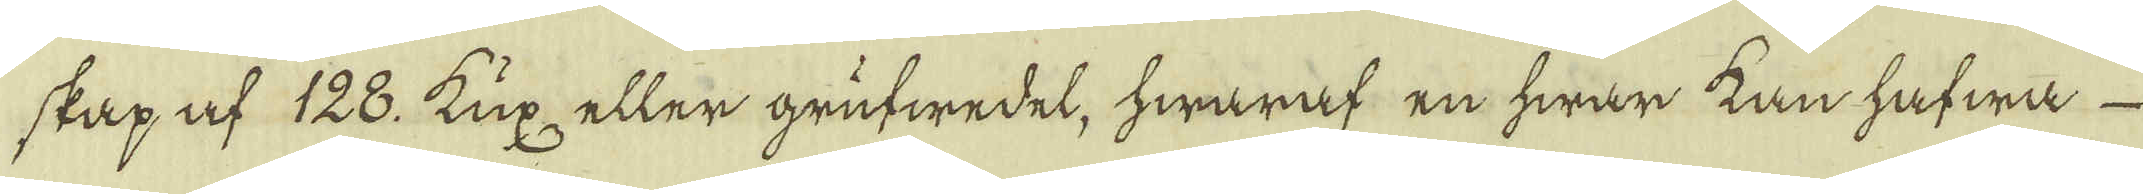skap af 128. Kux eller grufwedel, hwaraf en hwar kan hafwa
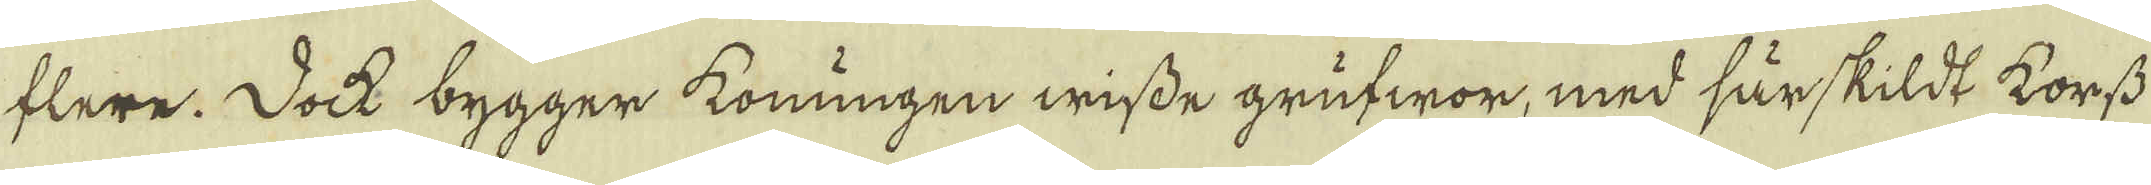flere. Dock bygger Koningen wisse grufwor, med särskildt korss
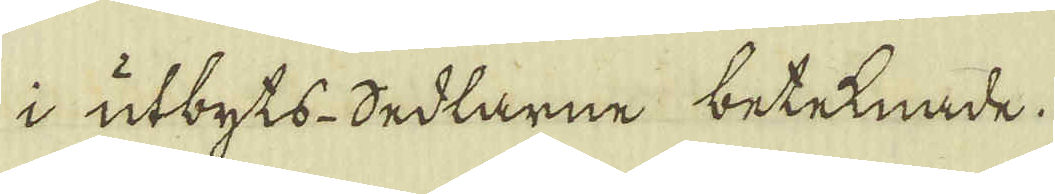i utbyts-Sedlarne beteknade.
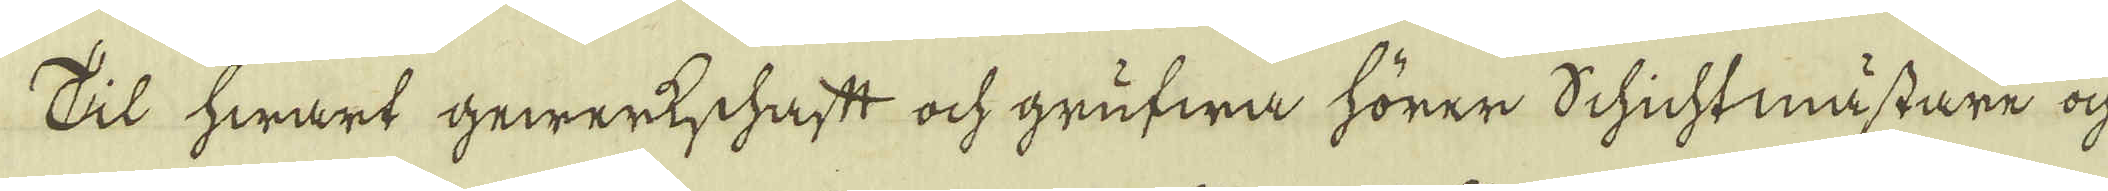Til hwart gewerkschaft och grufwa hörer Schichtmästare och
